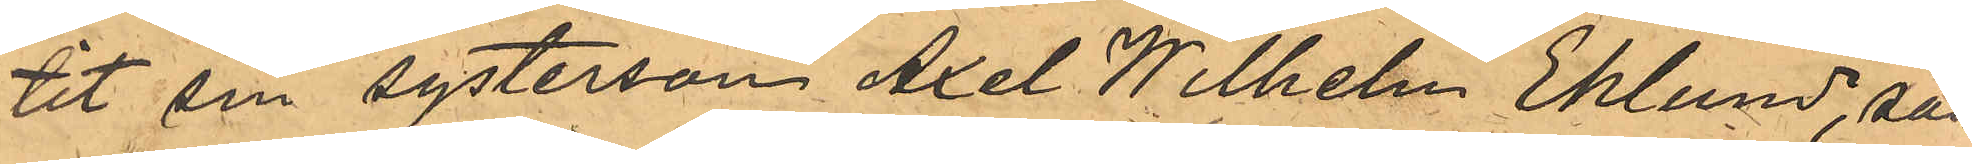tit sin systerson Axel Wilhelm Eklund, som
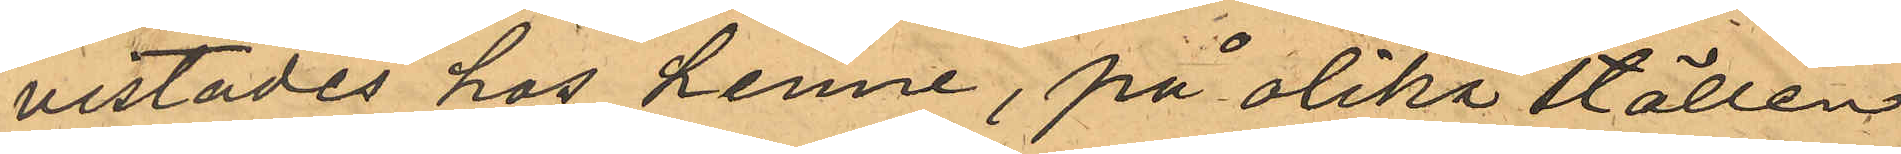vistades hos henne, på olika ställen
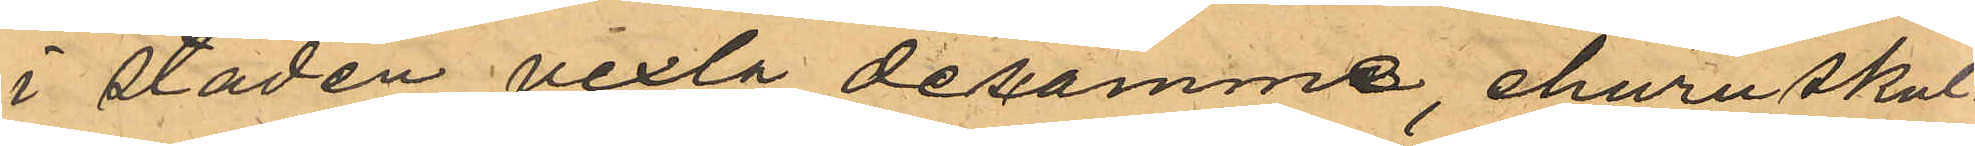i staden vexla desamme, ehuru skul¬
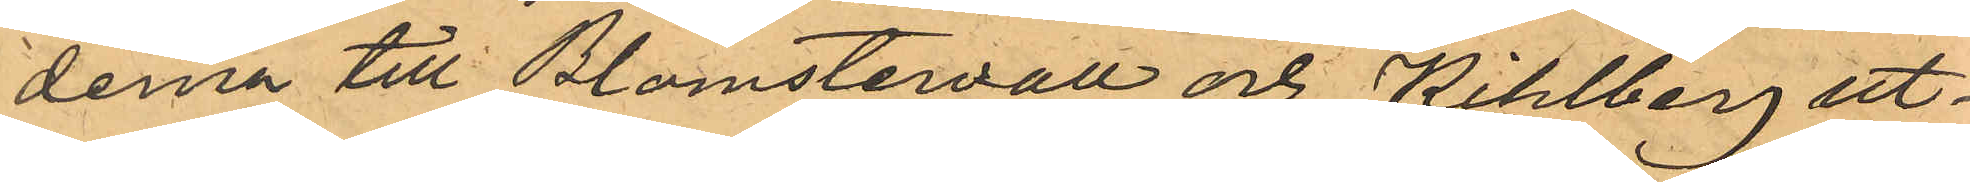dena till Blomstervall och Kihlberg ut¬
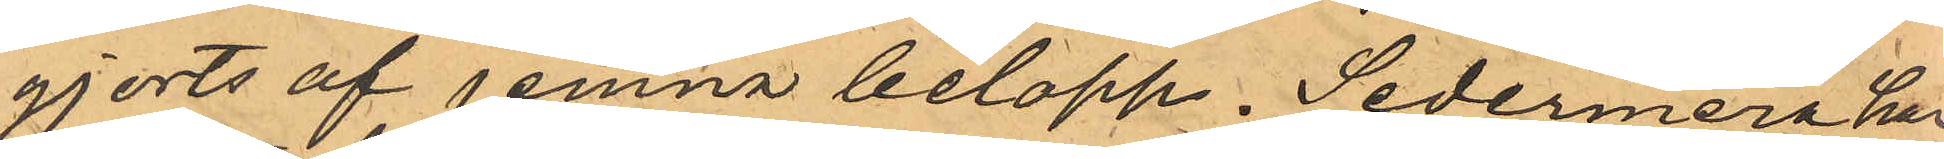gjorts af jemna belopp. Sedermera har
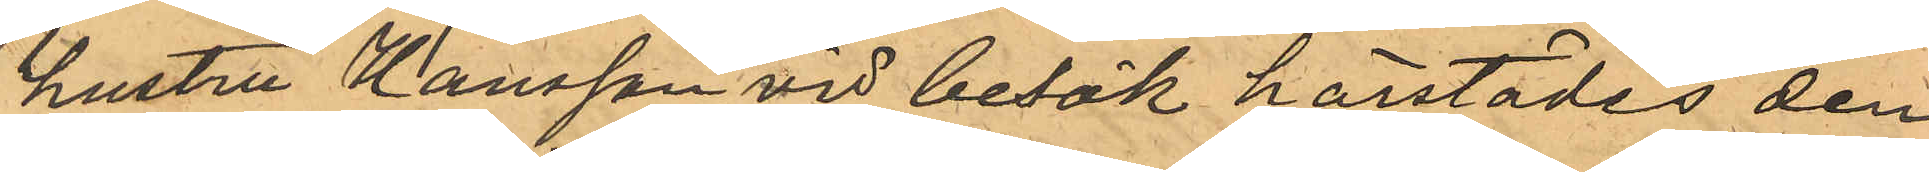hustru Hansson vid besök härstädes den
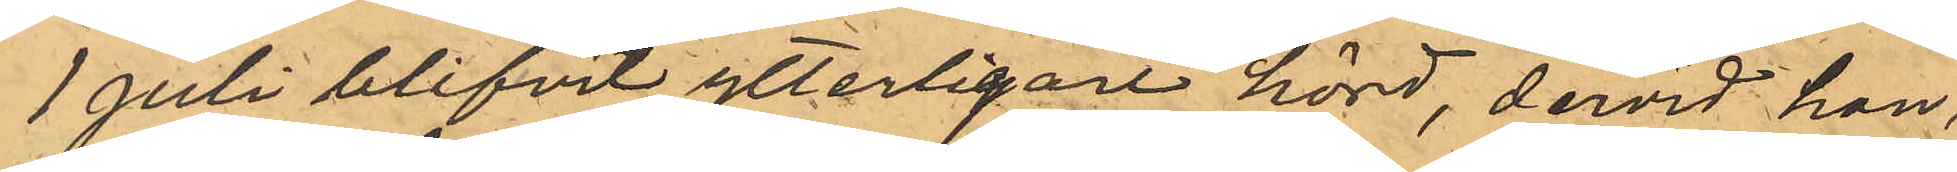1 Juli blifvit ytterligare hörd, dervid hon,
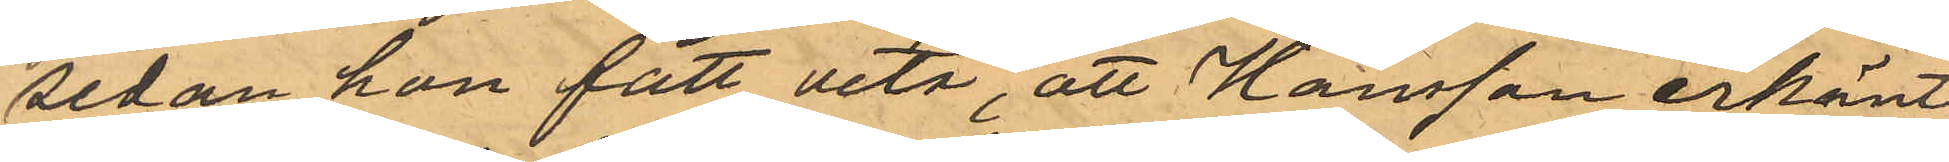sedan hon fått veta, att Hansson erkänt
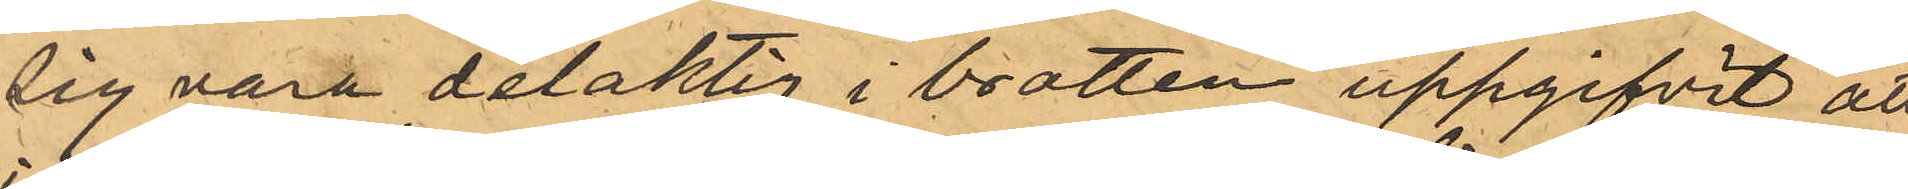sig vara delaktig i brotten uppgifvit att
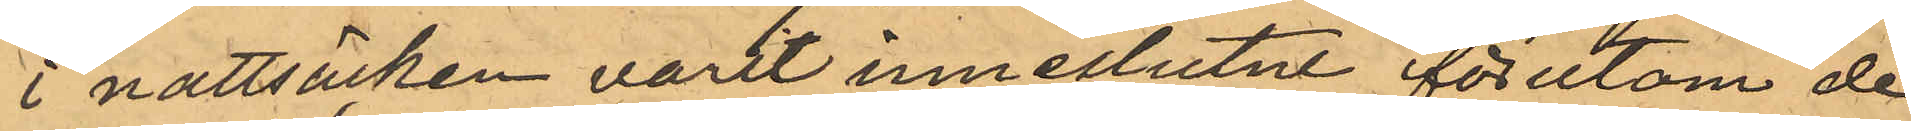i nattsäcken varit inneslutne förutom de
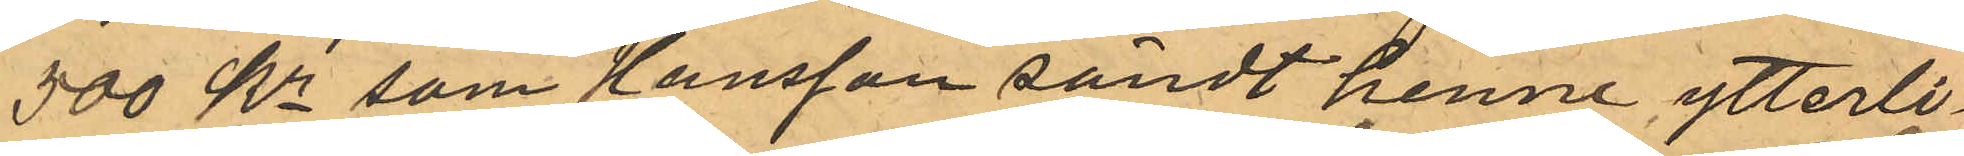500 Kr som Hansson sändt henne, ytterli¬
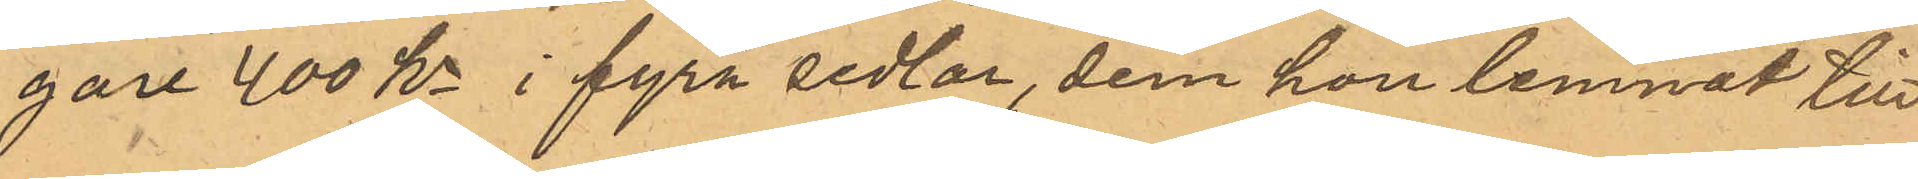gare 400 Kr i fyra sedlar, dem hon lemnat till
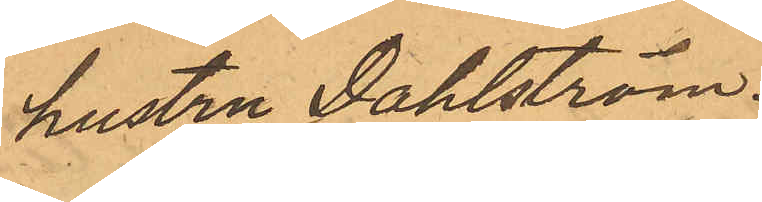hustru Dahlström.
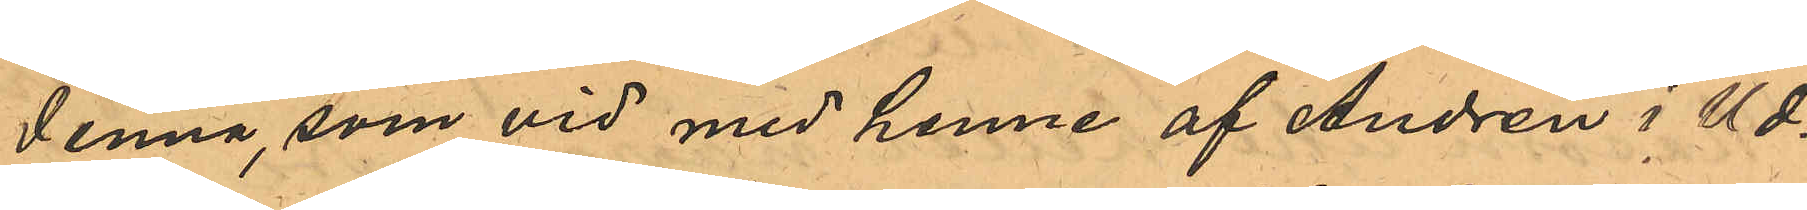Denna, som vid med henne af Andrén i Ud¬
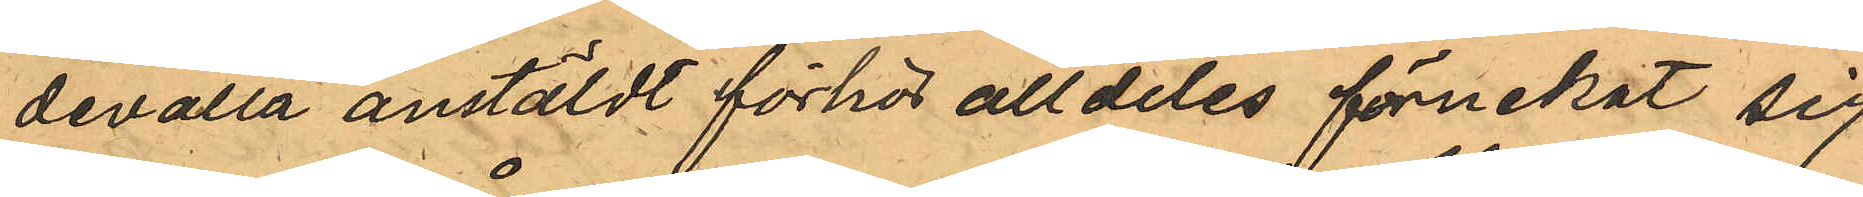devalla anstäldt förhör alldeles förnekat sig
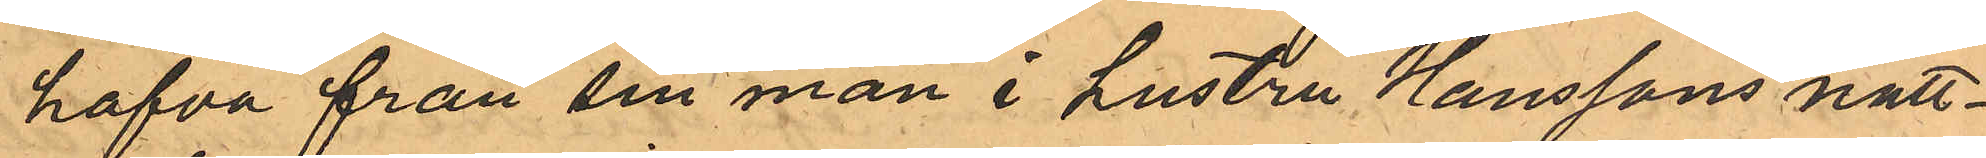hafva från sin man i hustru Hanssons natt¬
